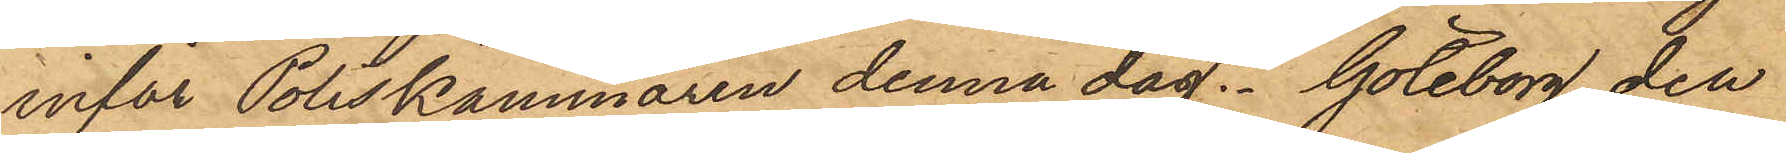inför Poliskammaren denna dag. Göteborg den
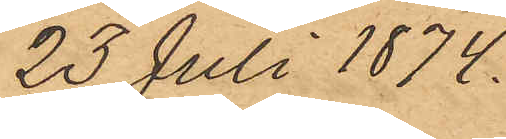23 Juli 1874.
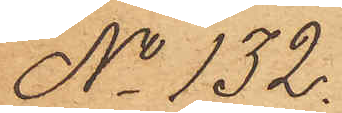No 132.
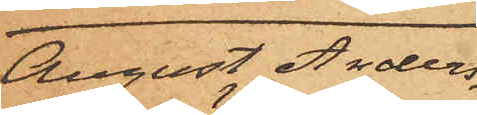August Anders¬
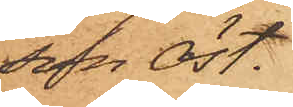son  Öst.
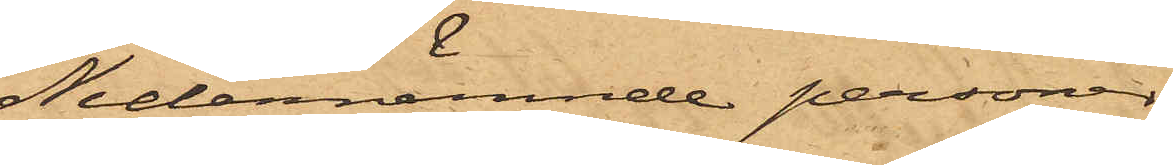Nedannämnde personer
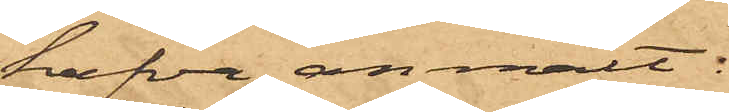hafva anmält:
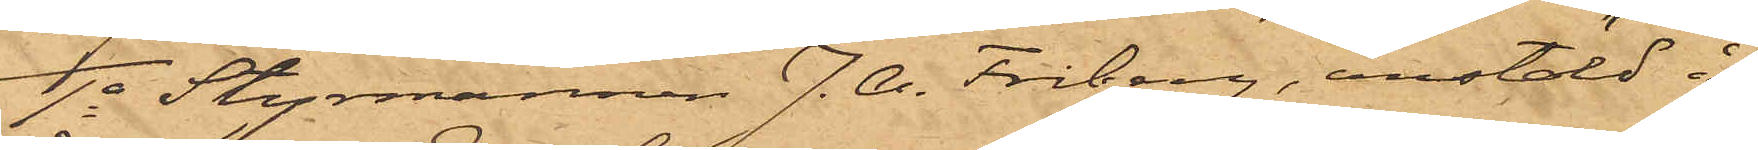1o Styrmannen J. A. Friberg, anstäld å
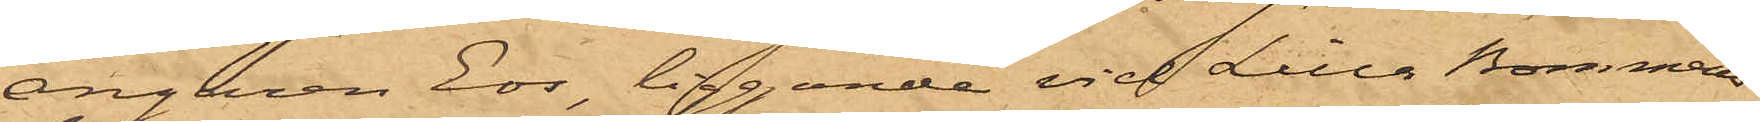ångaren Eos, liggande vid Lilla Bommens
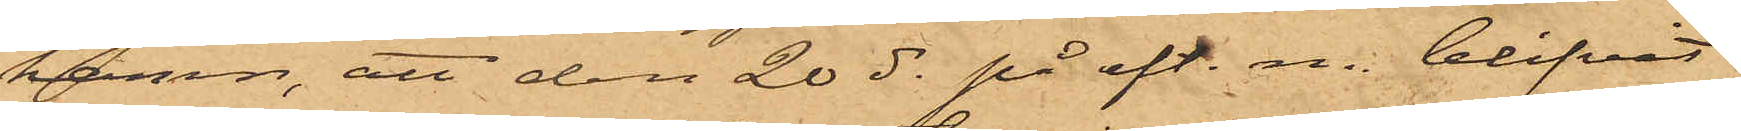hamn, att den 20 ds på eft. m. blifvit
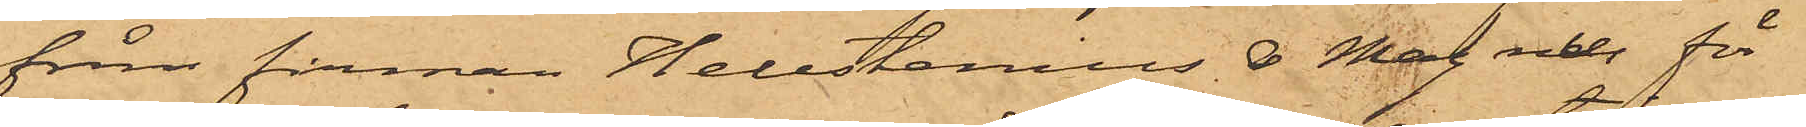från firman Hellstenius & Magnus för
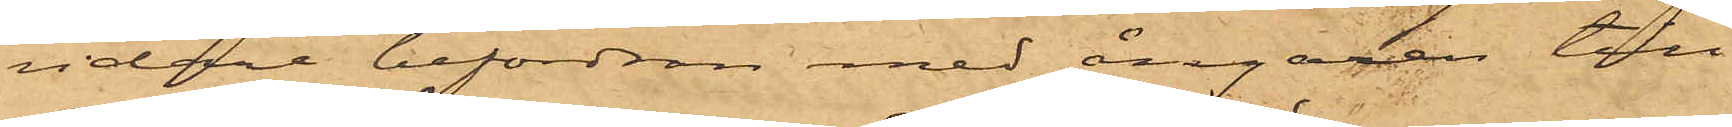vidare befordran med ångaren till
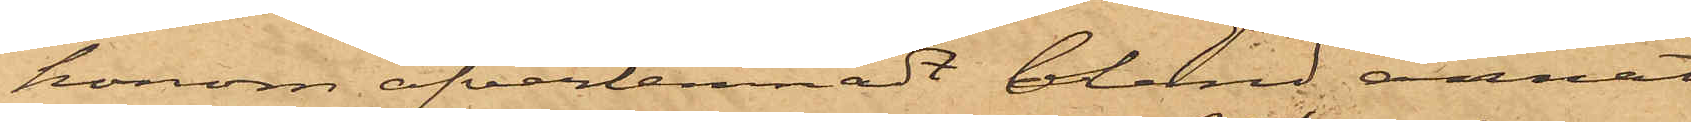honom öfverlemnadt bland annat
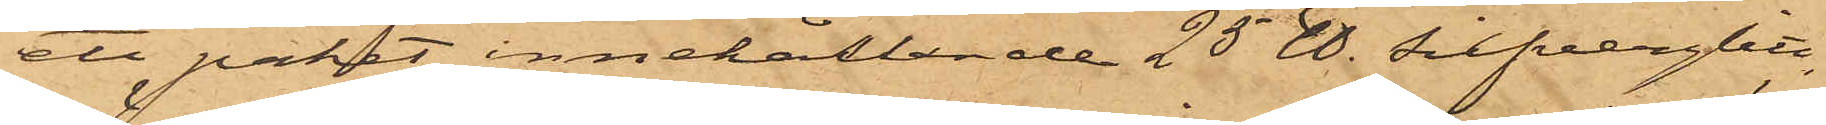ett paket innehållande 25 ℔. silfverglitt,
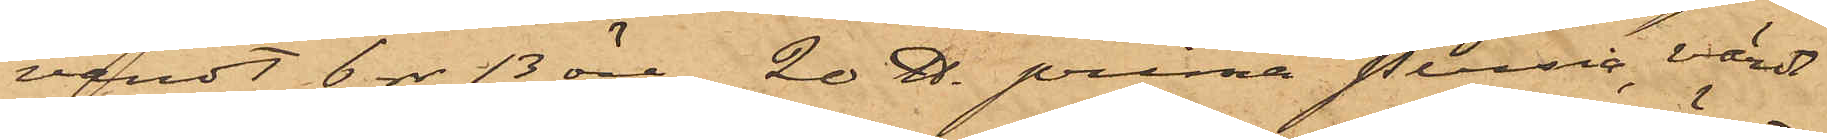värdt 6 rdr 13 öre,  20 ℔. prima prusia, värde
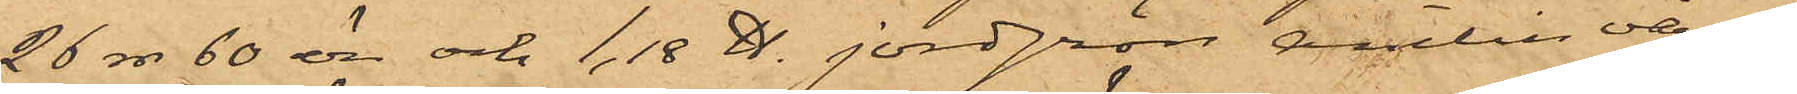26 rdr 60 öre och 1,18 ℔. jordgrön anilin värdt
